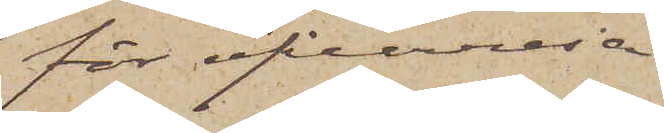för öfverresa
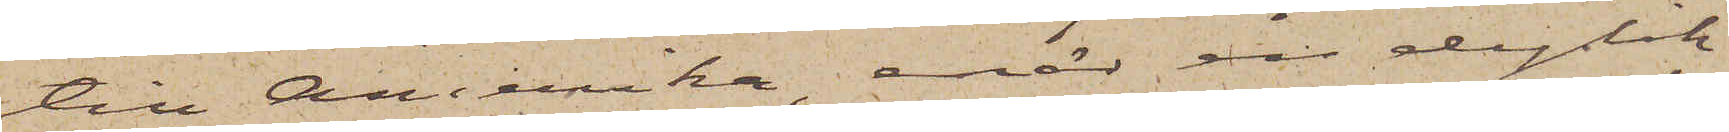till Amerika, enär en dylik
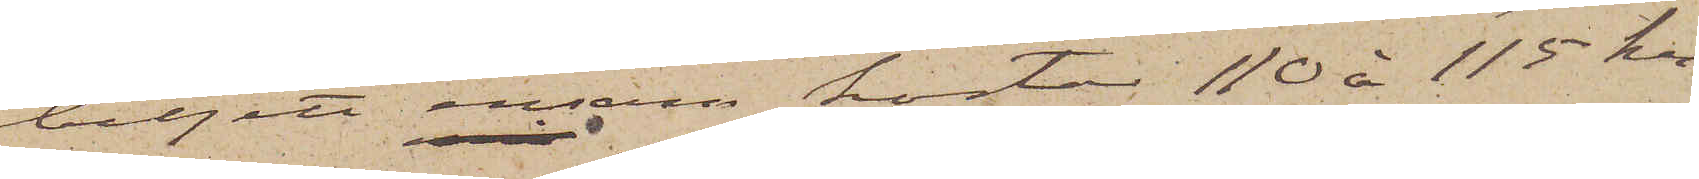biljett ensam kostar 110 à 115 kr
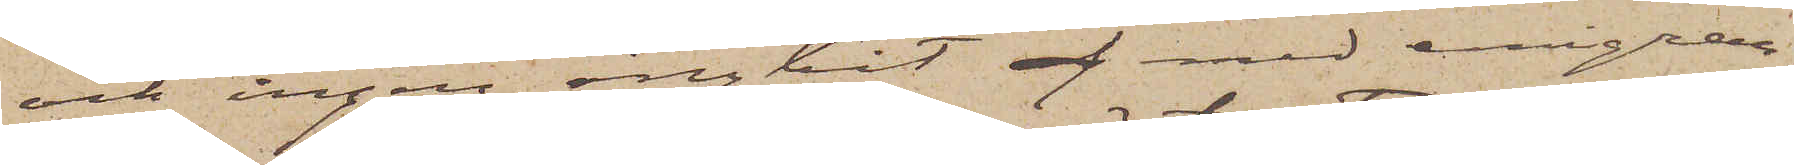och ingen ångbåt med emigran¬
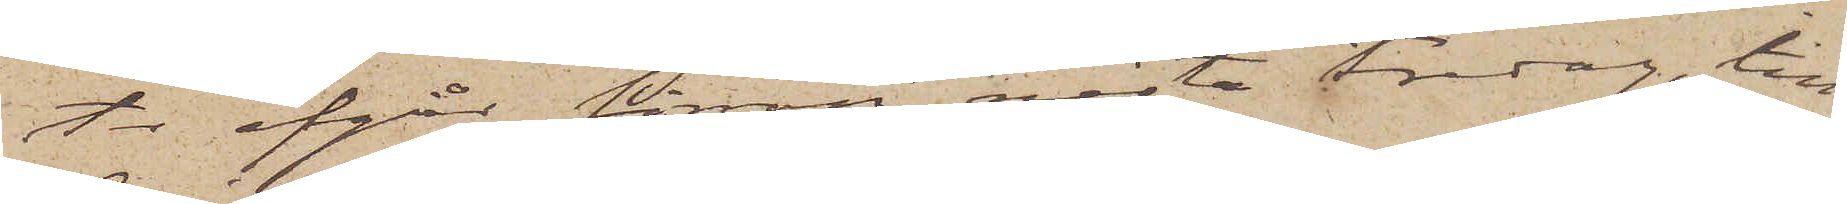ter afgår förrän nästa Fredag, till
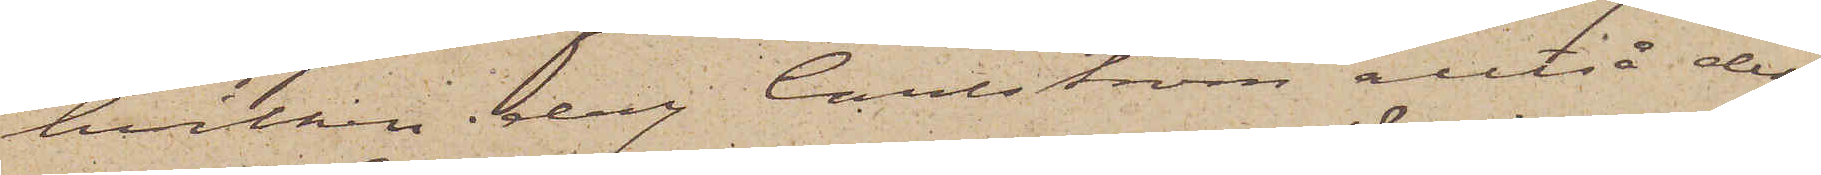hvilken dag Carlström alltså dess¬
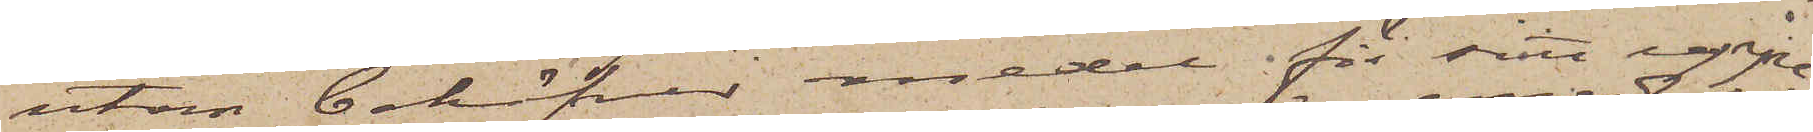utom behöfver medel för sitt uppe¬
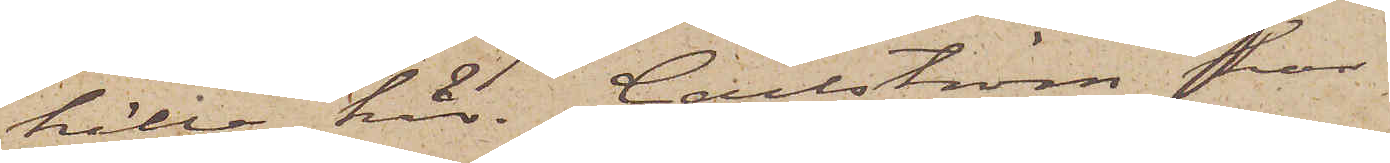hälle här. Carlström har
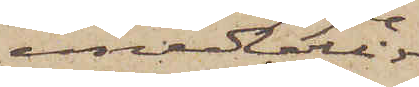emedlertid
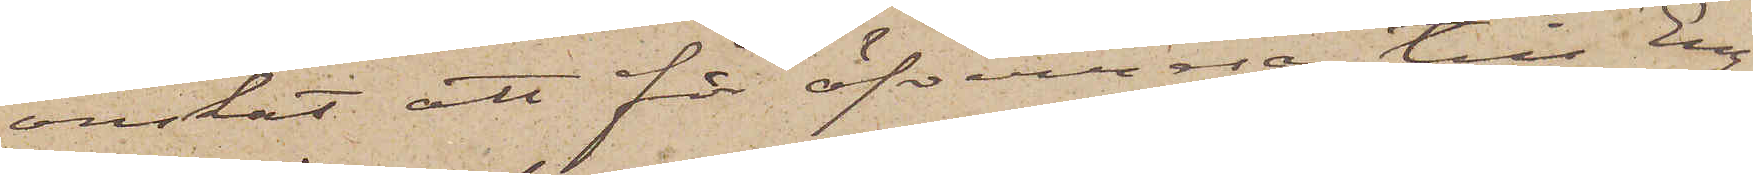önskat att få öfverresa till Eng¬
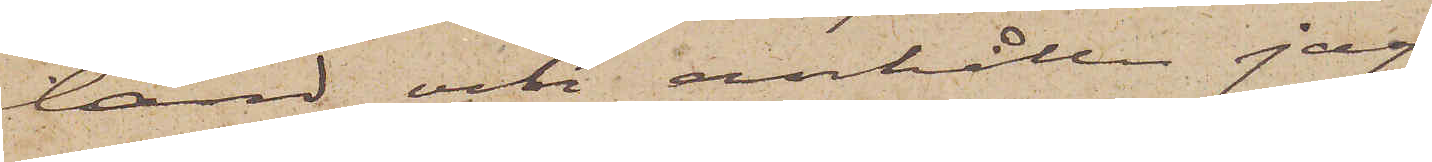land och anhåller jag
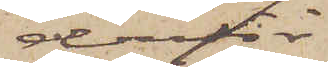derför
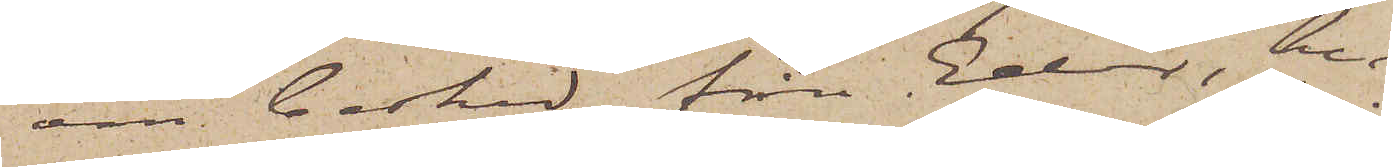om besked från Eder, hu¬
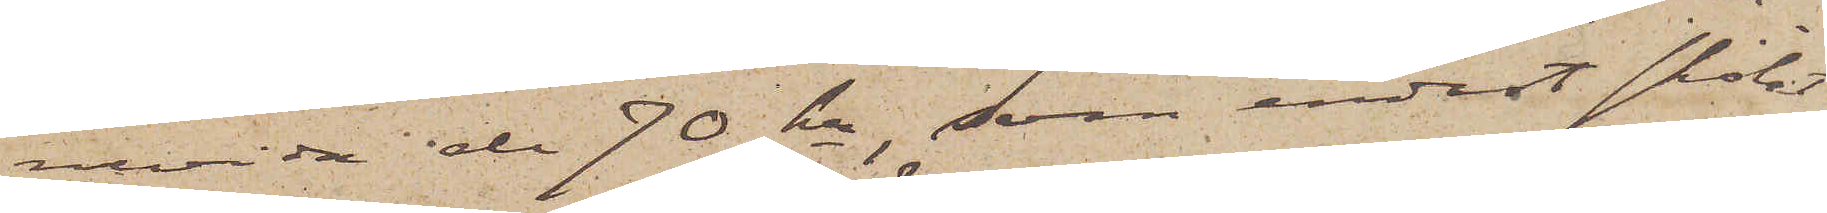ruvida de 70 kr, som endast skolat
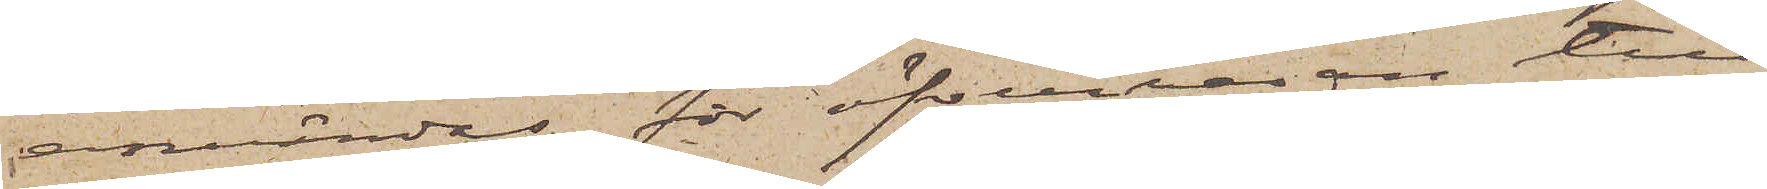användas för öfverresan till
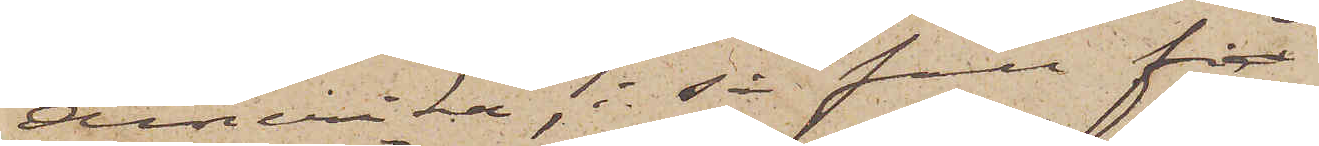Amerika, i så fall får
